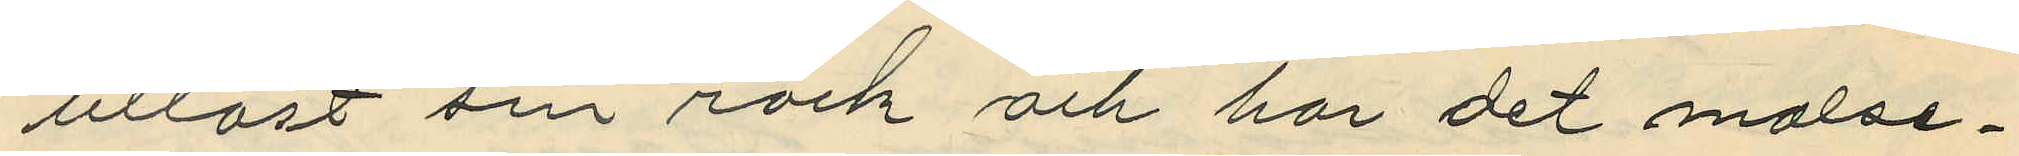utlöst sin rock och har det målse¬
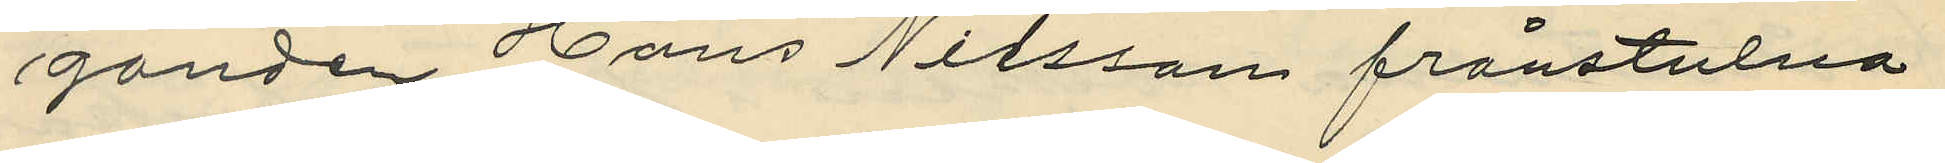ganden Hans Nilsson frånstulna
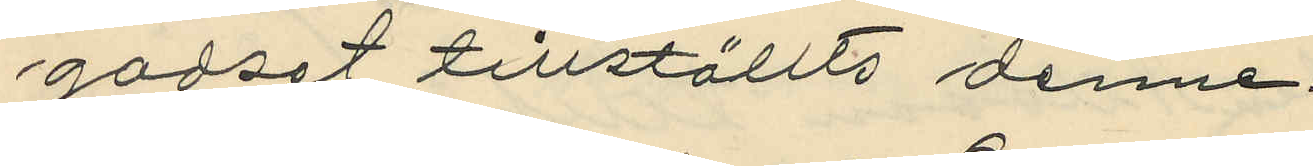godset tillställts denne.
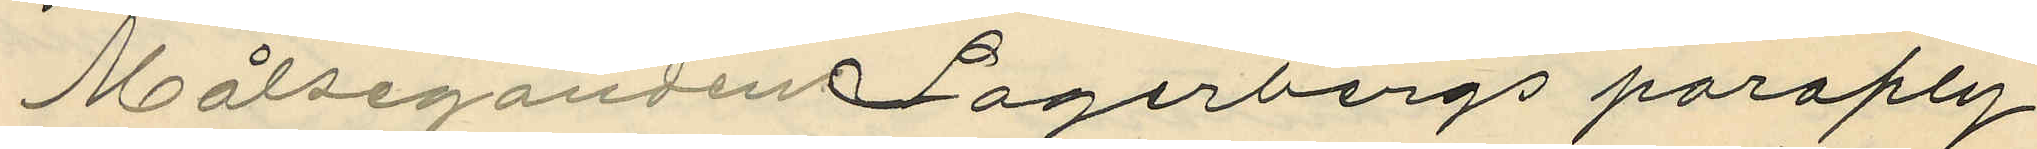Målseganden Lagerbergs paraply
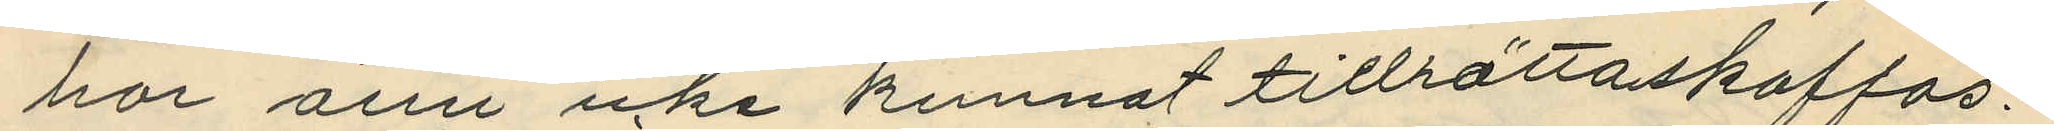har änu icke kunnat tillrättaskaffas.
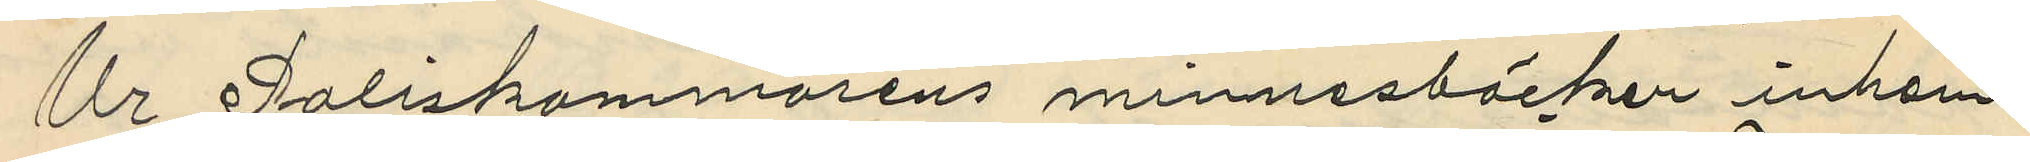Ur Poliskammarens minnesböcker inhem¬
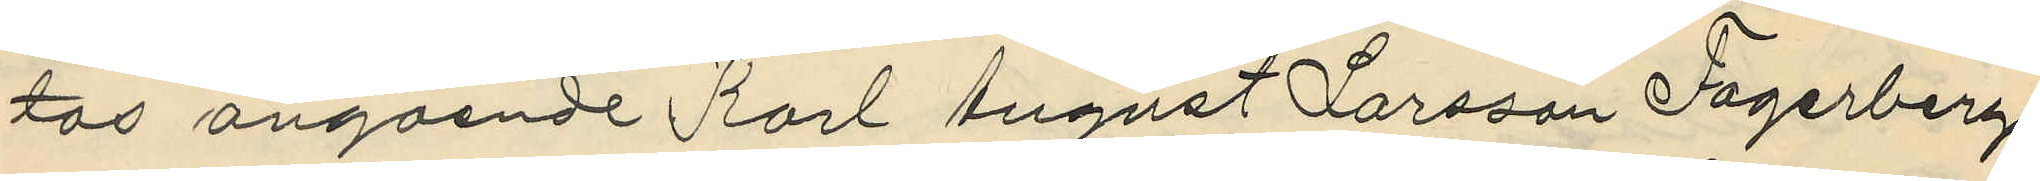tos angående Karl August Larsson Lagerberg
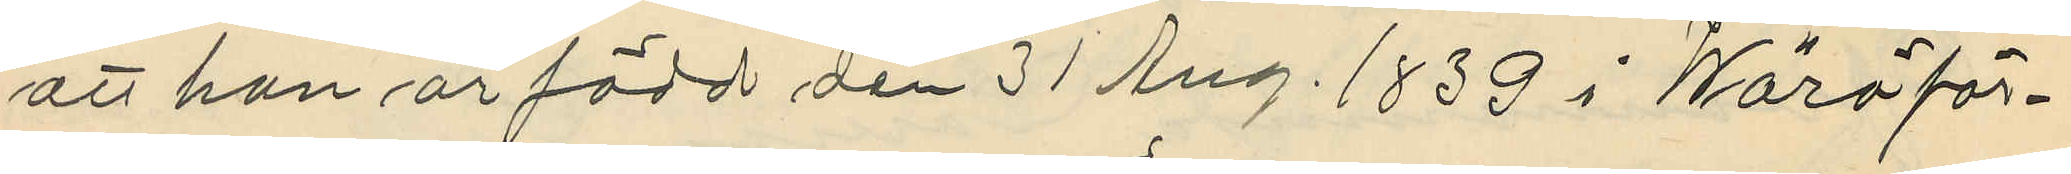att han är född den 31 Aug. 1839 i Wärö för¬
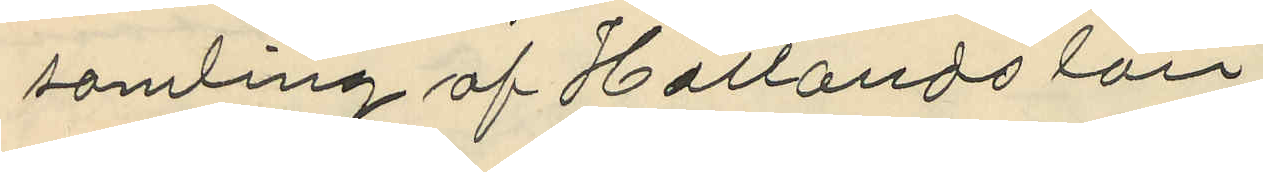samling af Hallands län;
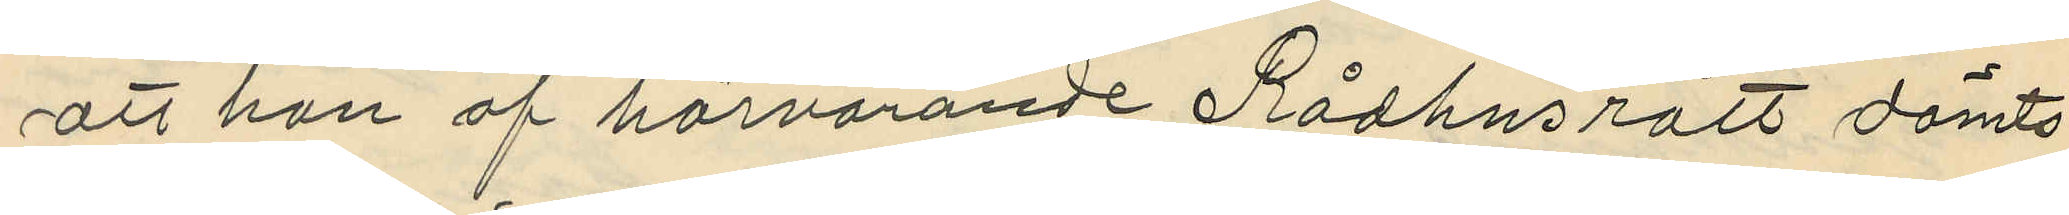att han af härvarande Rådhusrätt dömts
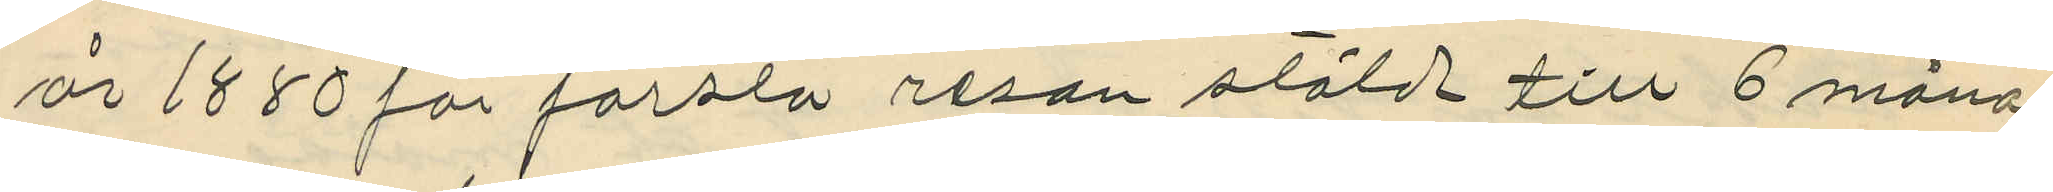år 1880 för första resan stöld till 6 måna¬
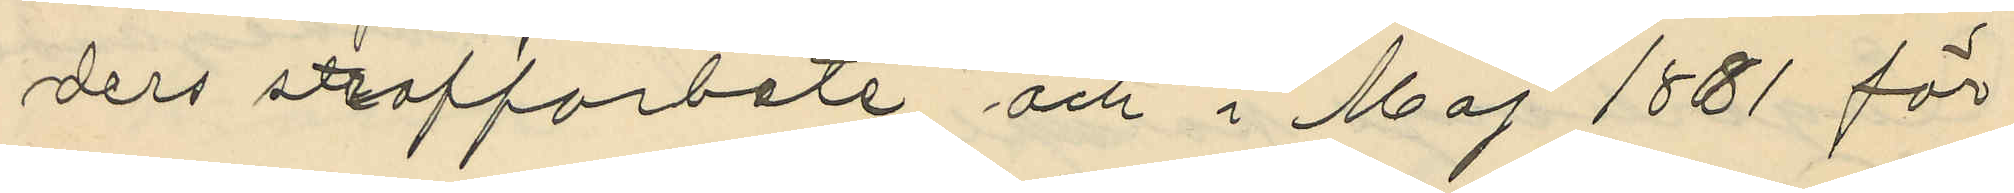ders straffarbete och i Maj 1861 för
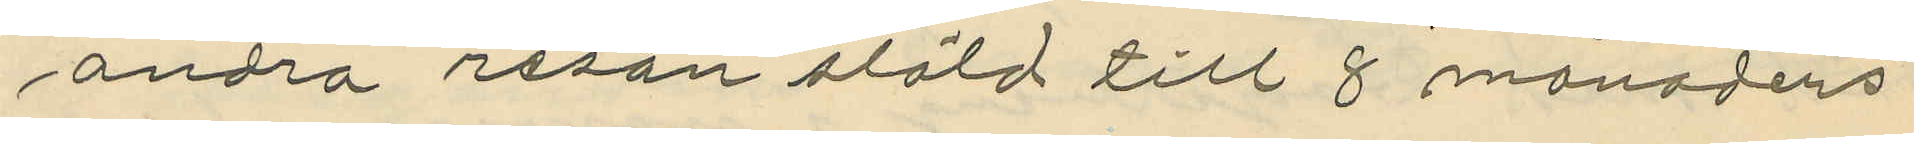andra resan stöld till 8 månaders
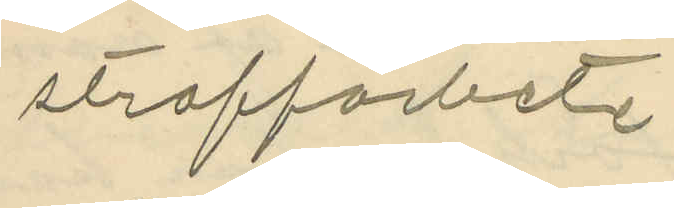straffarbete
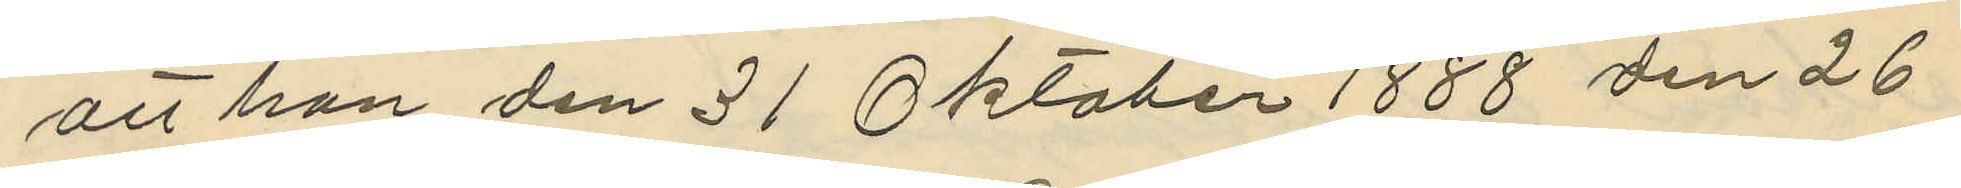att han den 31 Oktober 1888 den 26
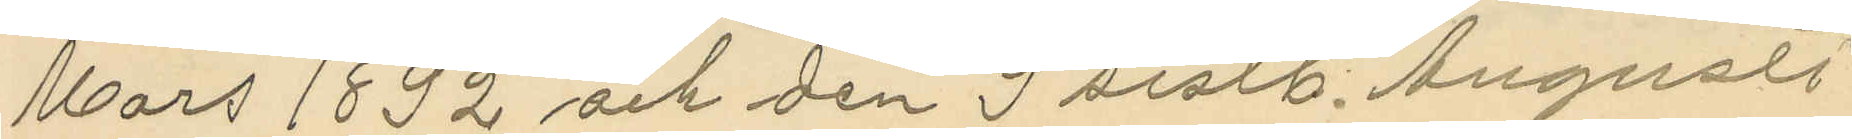Mars 1892 och den 9 sistl. Augusti
